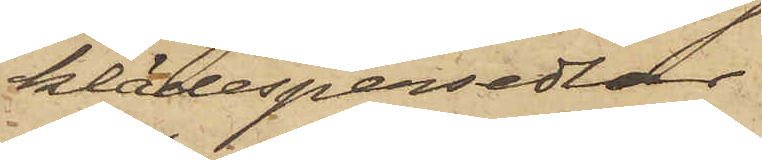klädespersedlar
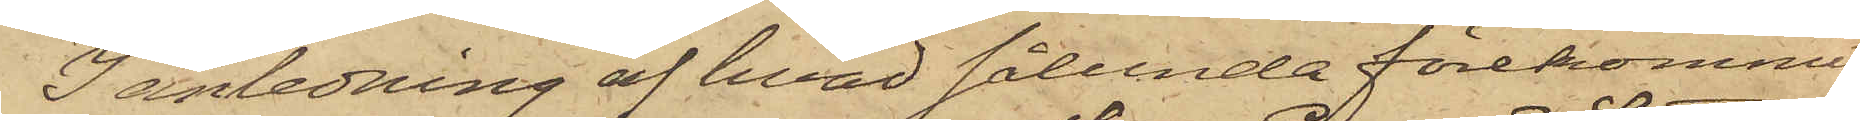I anledning af hvad sålunda förekommit,
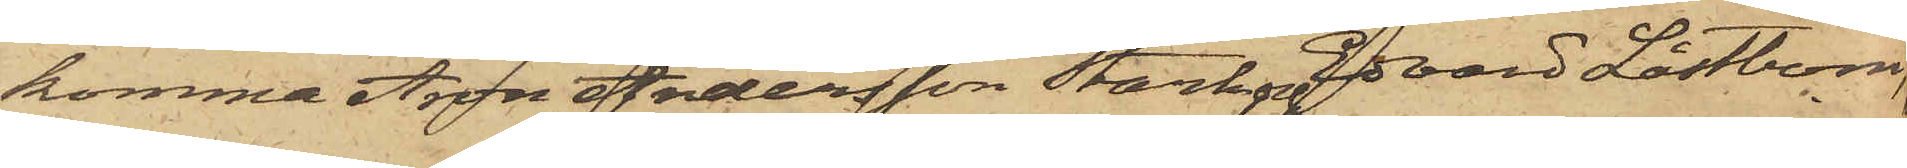komma Aron Andersson Stark och Edvard Låstbom,
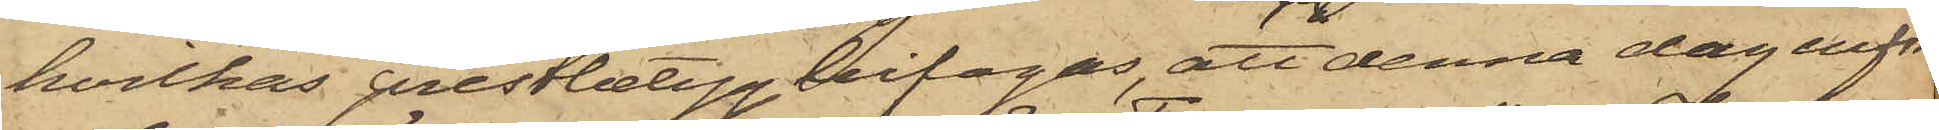hvilkas prestbetyg bifogas, att denna dag inför
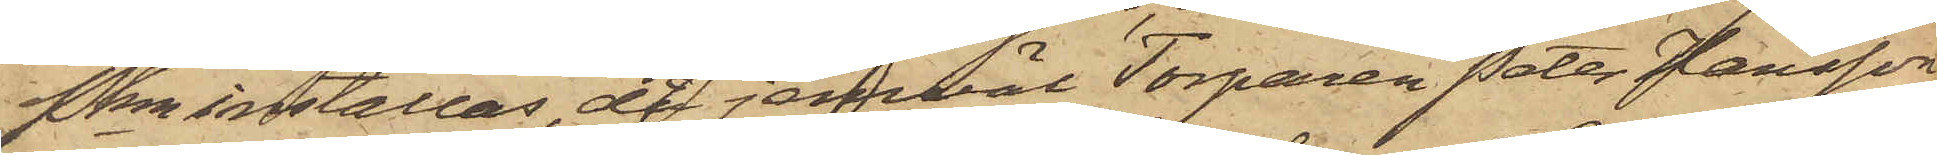Pkn inställas, då jemväl Torparen Peter Hansson
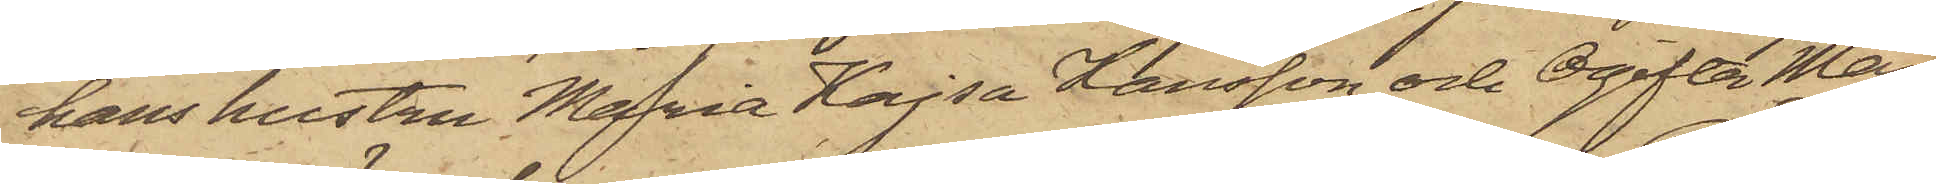hans hustru Maria Kajsa Larsson och Ogifta Maria
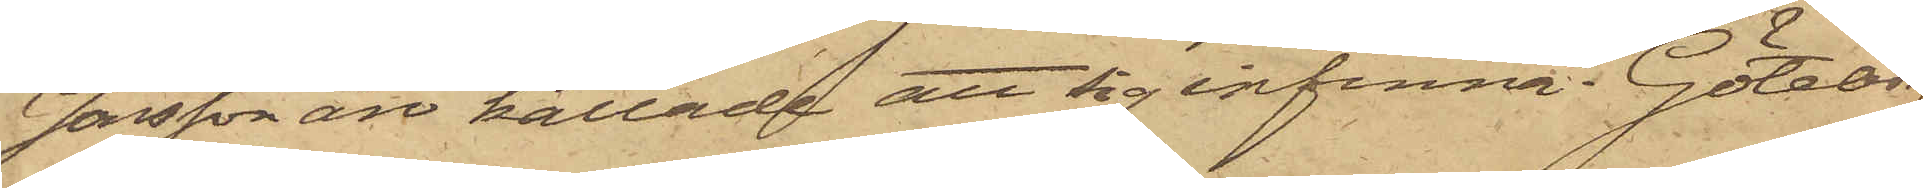Jonsson äro kallade att sig infinna. Göteborg
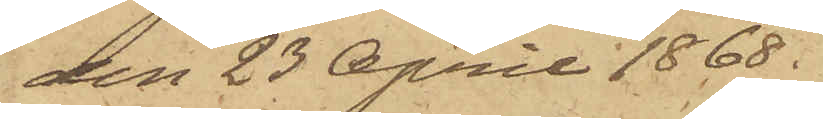den 23 April 1868.
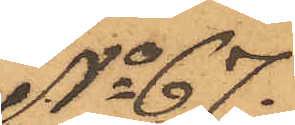No 67.
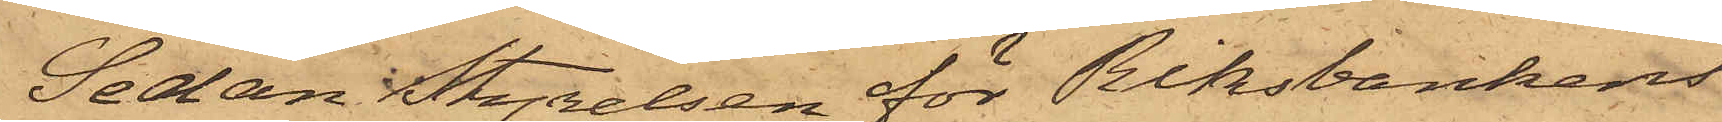Sedan Styrelsen för Riksbankens
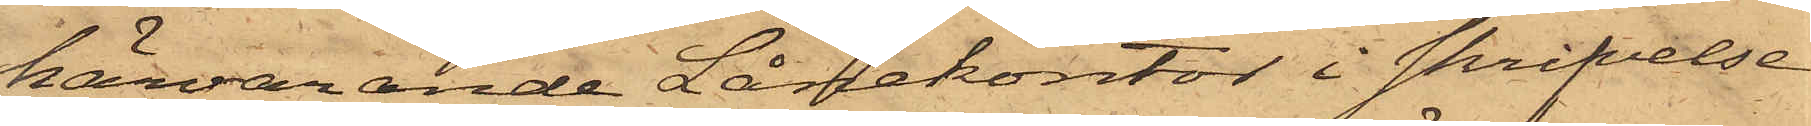härvarande Lånekontor i skrifvelse
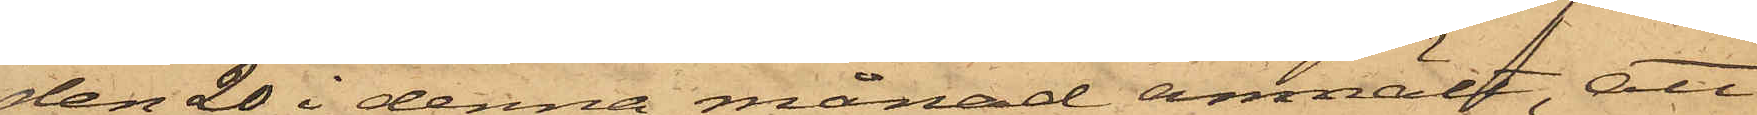den 20 i denna månad anmält, att
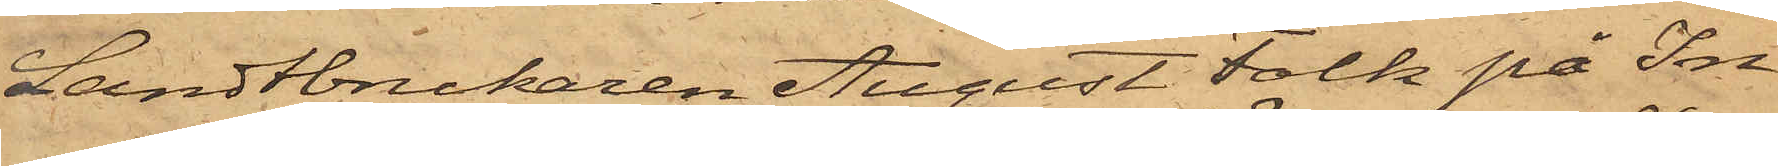Landtbrukaren August Falk på In¬
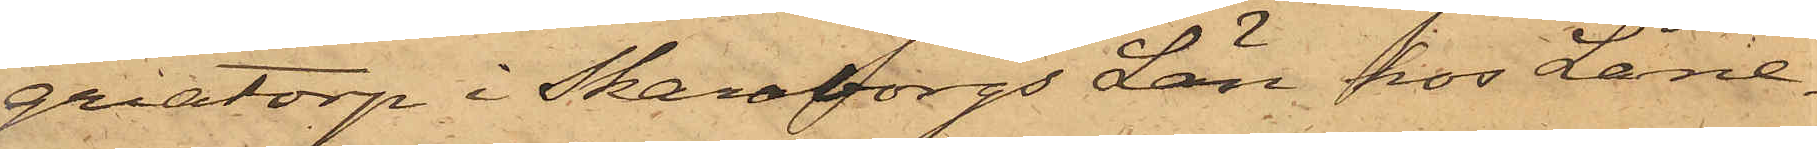griatorp i Skaraborgs Län, hos Låne¬
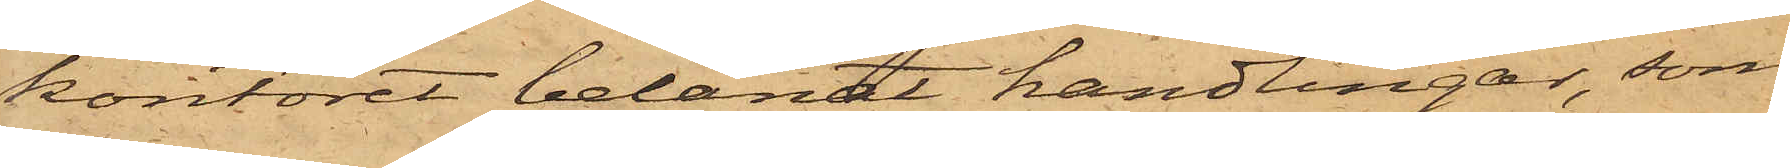kontoret belånat handlingar, som
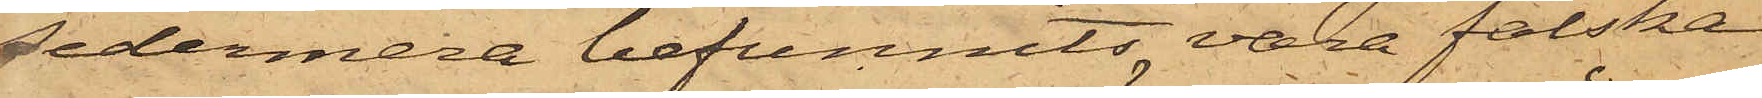sedermera befunnits vara falska,
